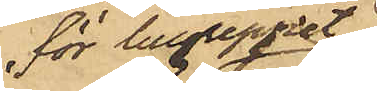för tillgreppet
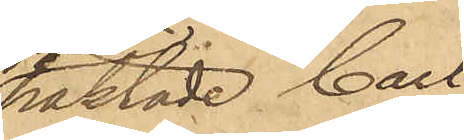häktade Carl
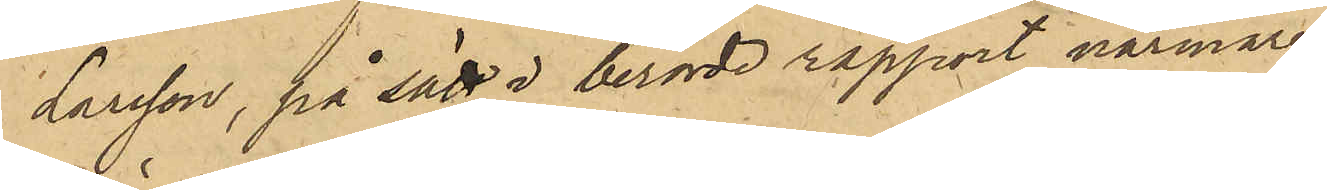Larsson, på sätt i berörde rapport närmare
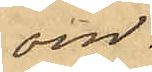om¬
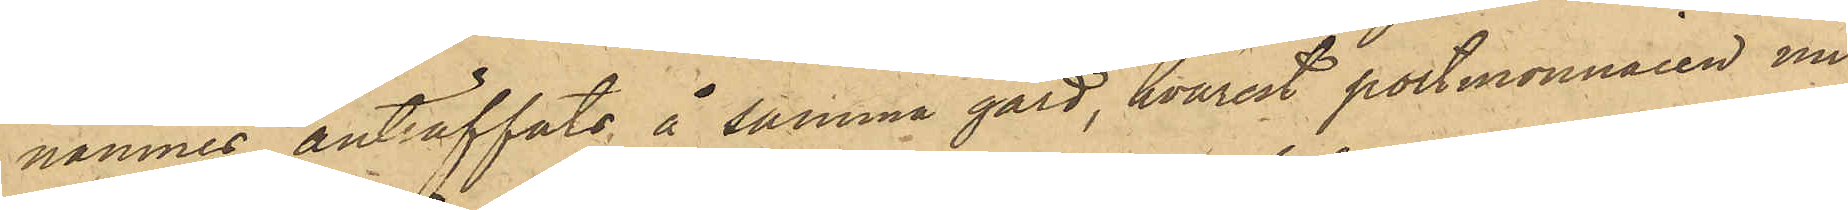nämnes, anträffats å samma gård, hvarest portmonnaien nu¬
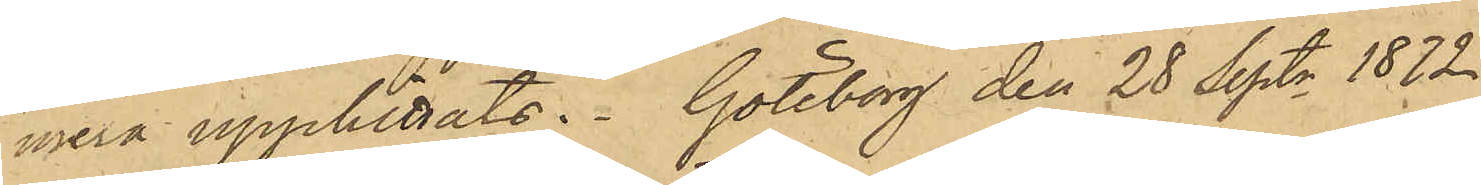mera upphittats. Göteborg den 28 Sept. 1872
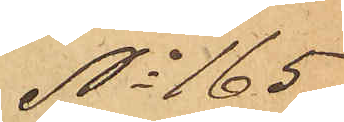No 165
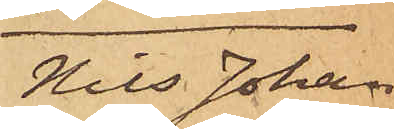Nils Johan
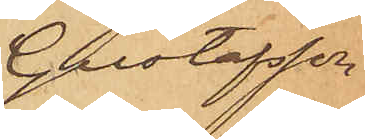Gustafsson
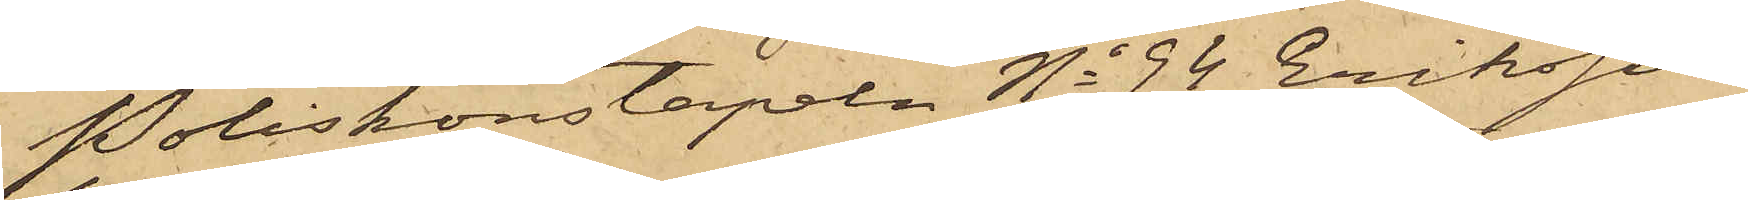Poliskonstapeln No 94 Eriksson
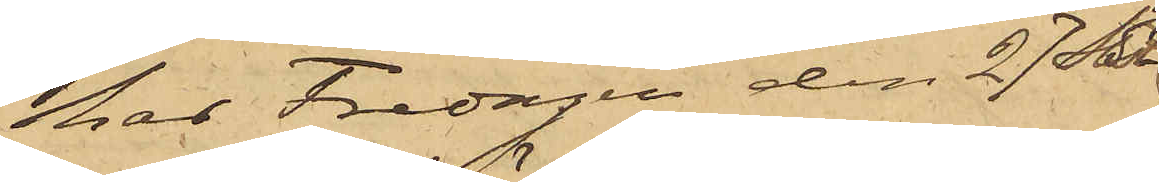har Fredagen den 27 Sa
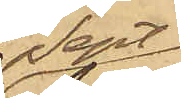Sept
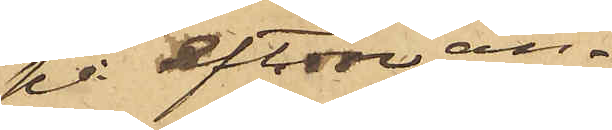på afton an¬
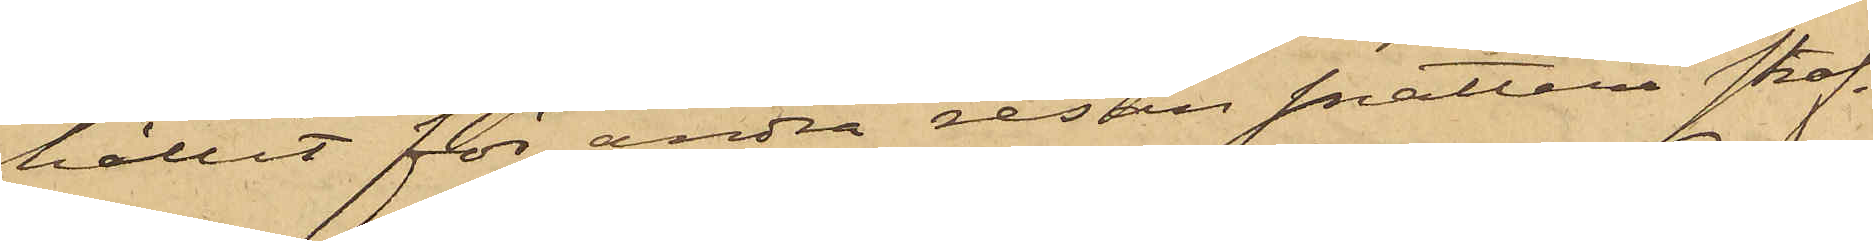hållit för andra resan snatteri straf¬
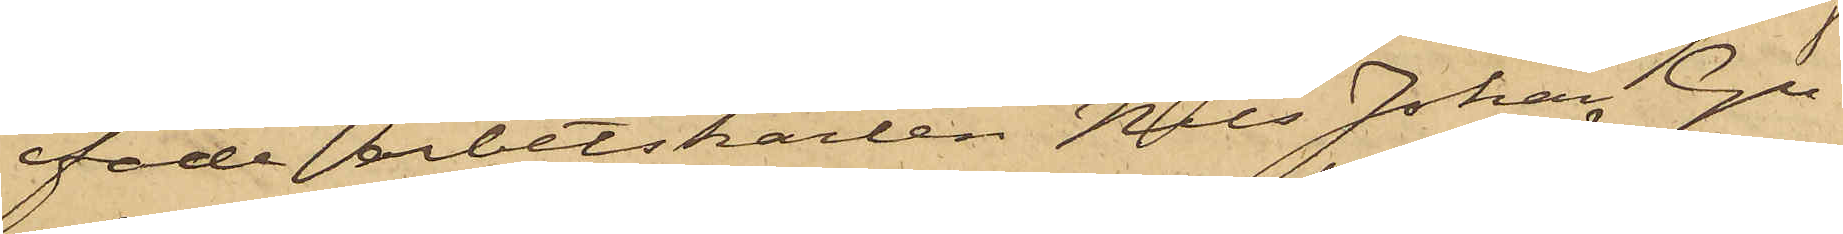fade arbetskarlen Nils Johan Gu¬
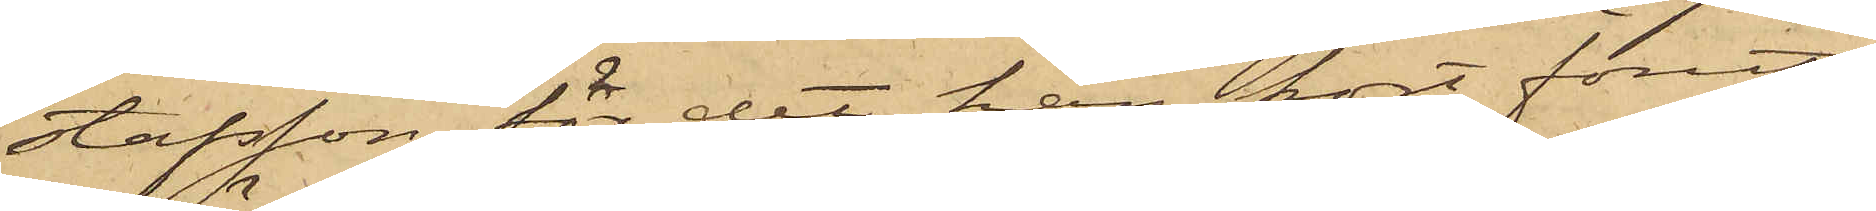stafsson, för det han kort förut
